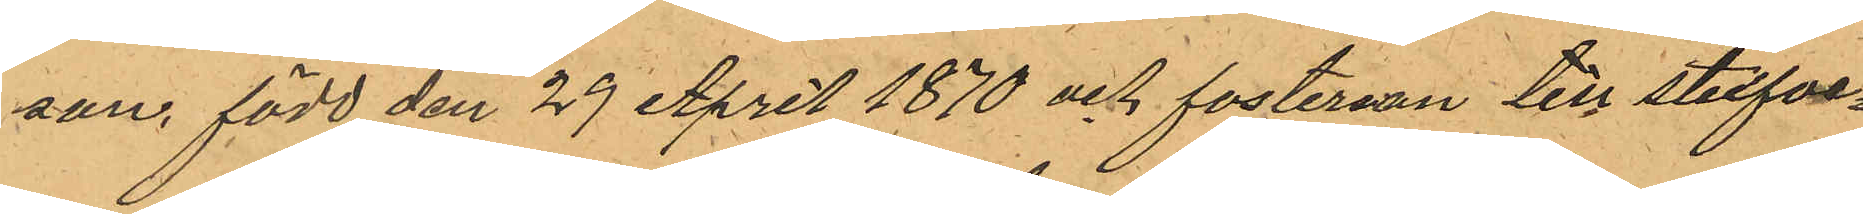son, född den 29 April 1870 och fosterson till stufve¬
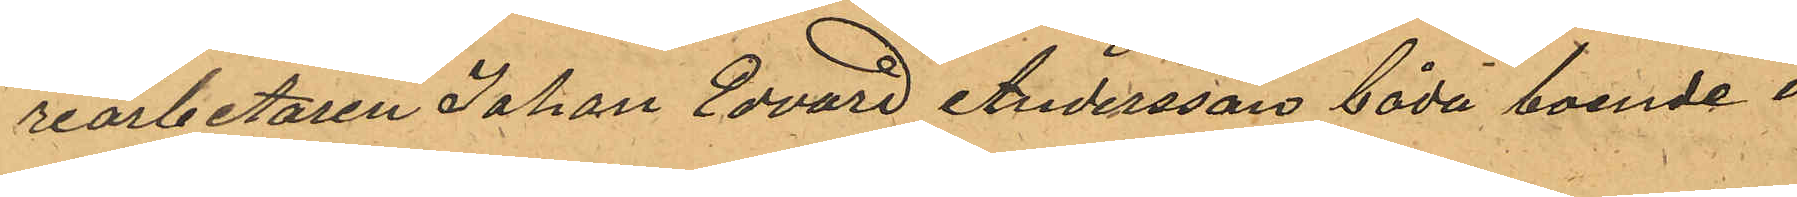riarbetaren Johan Edvard Andersson båda boende i
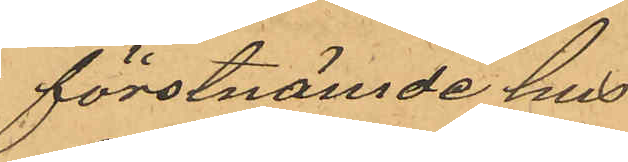förstnämde hus.
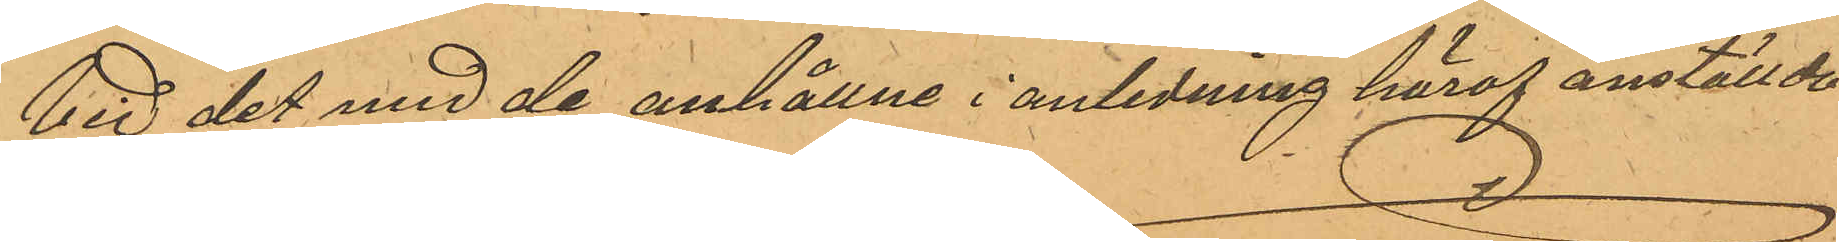Vid det med de anhållne i anledning häraf anställde
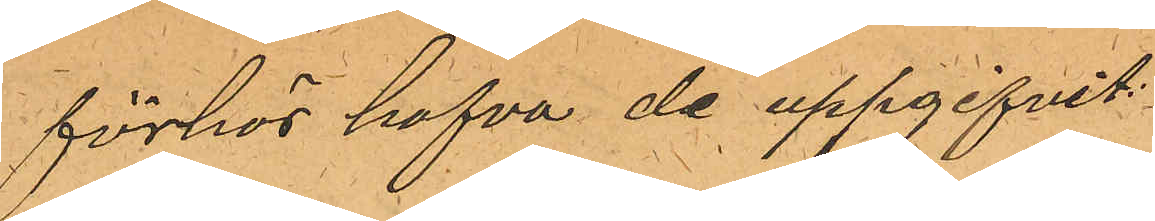förhör hafva de uppgifvit:
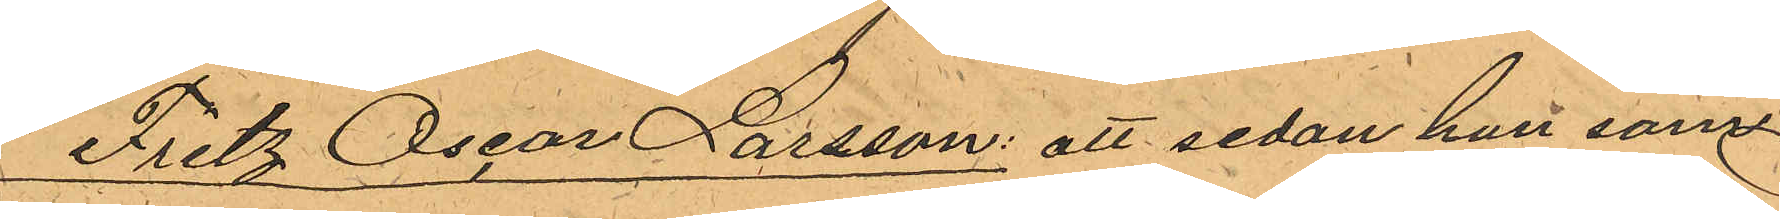Fritz Oscar Larsson: att sedan han som
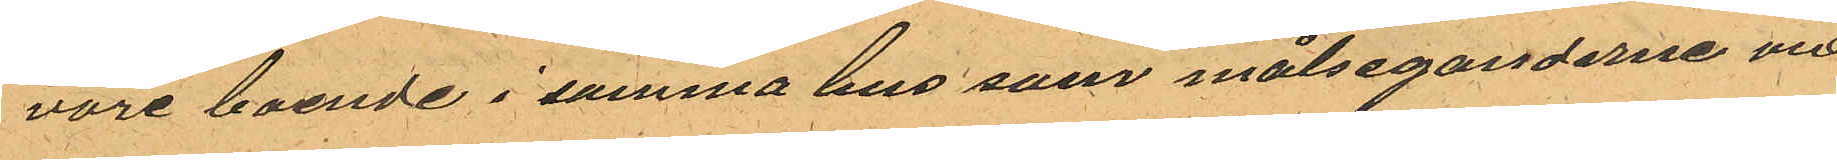vore boende i samma hus som målseganderne vid
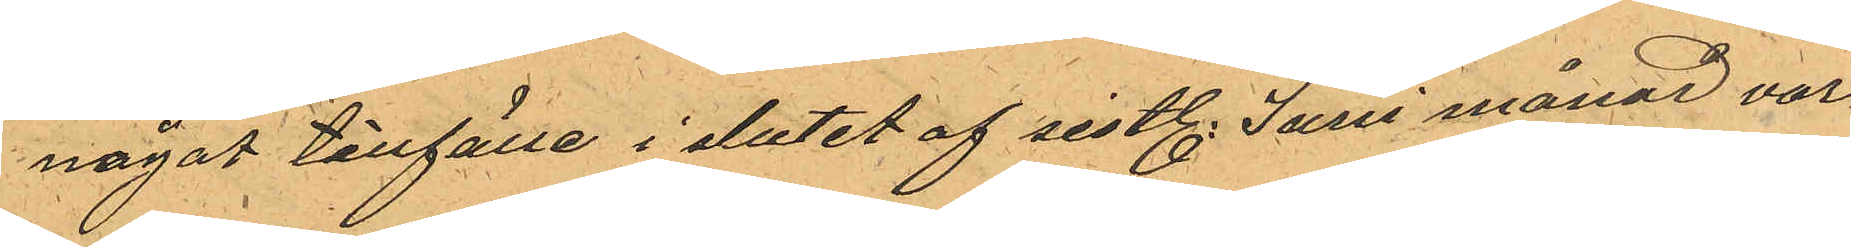något tillfälle i slutet af sistl. Juni månad var¬
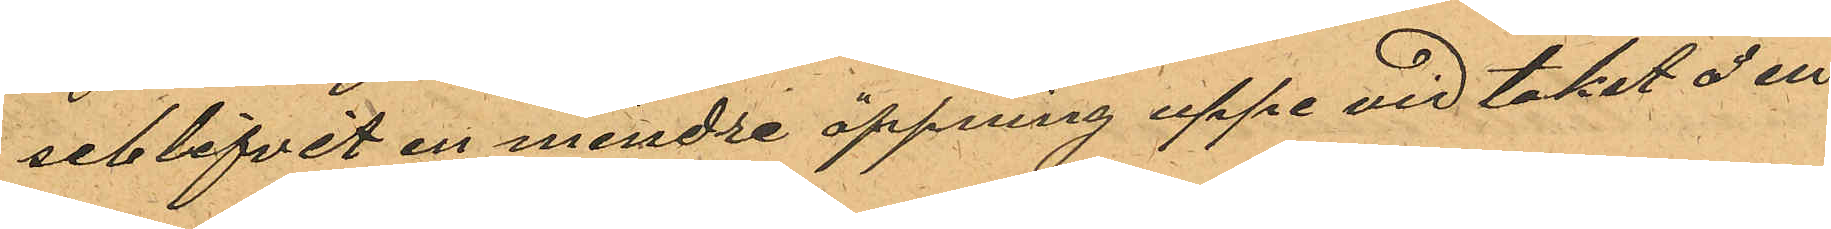seblifvit en mindre öppning uppe vid taket å en
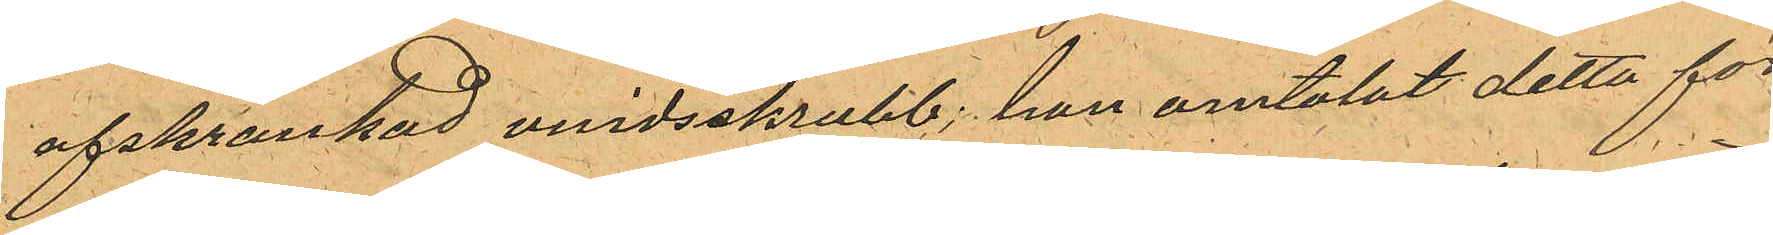afskrankad vindsskrubb; han omtalat detta för
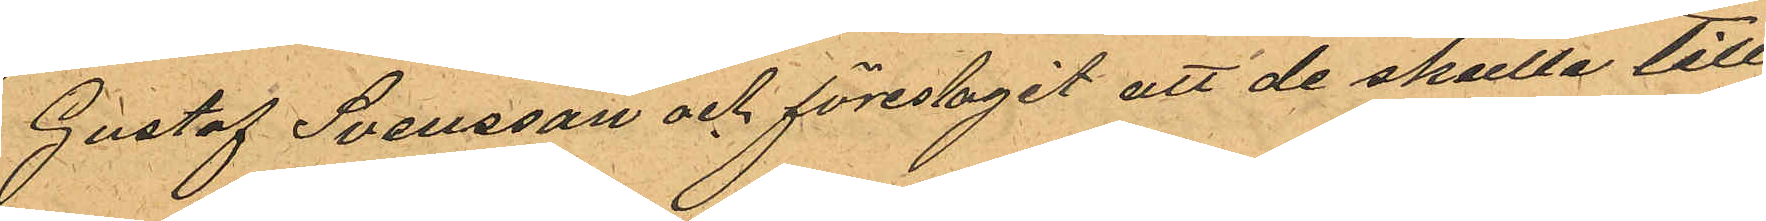Gustaf Svensson och föreslagit att de skulle till
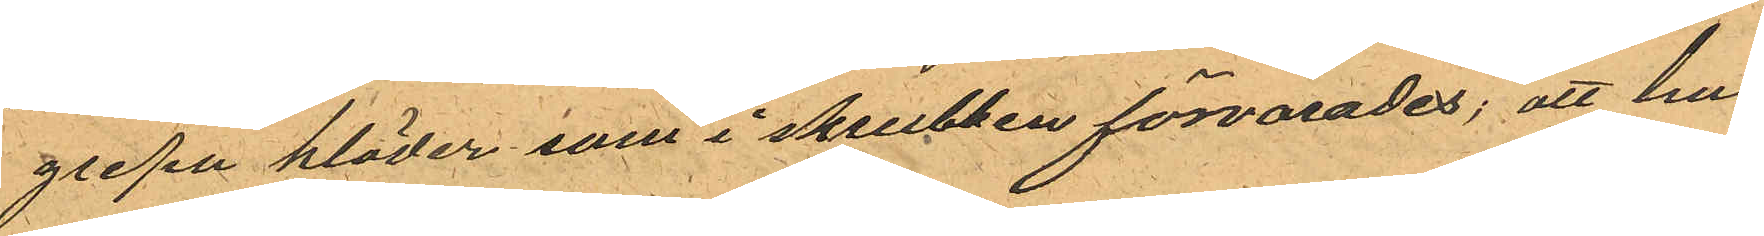gripa kläder som i skrubben förvarades; att han
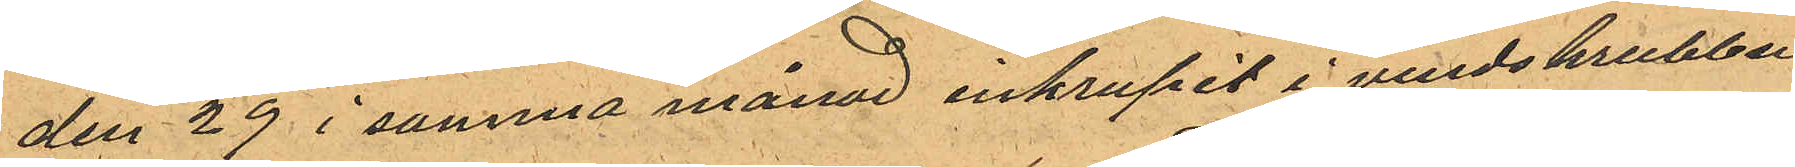den 29 i samma månad inkrupit i vindskrubben
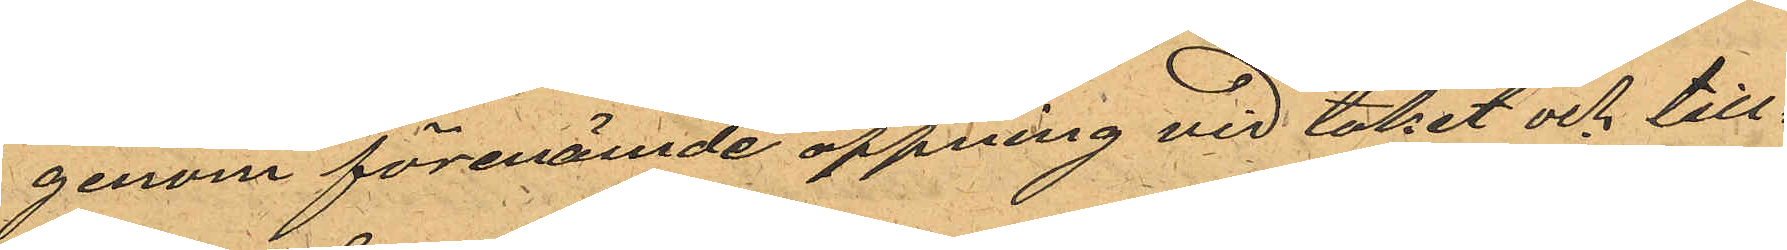genom förenämde öppning vid taket och till¬
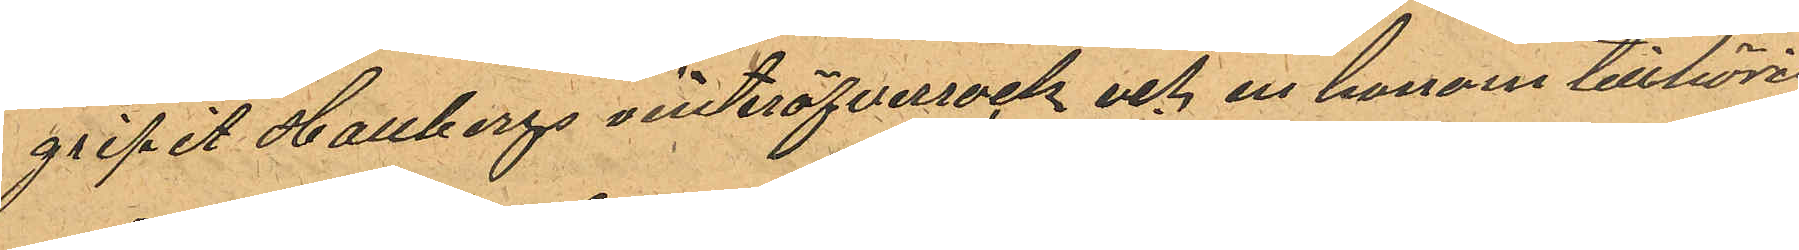gripit Hallbergs vinteröfverrock och en honom tillhörig
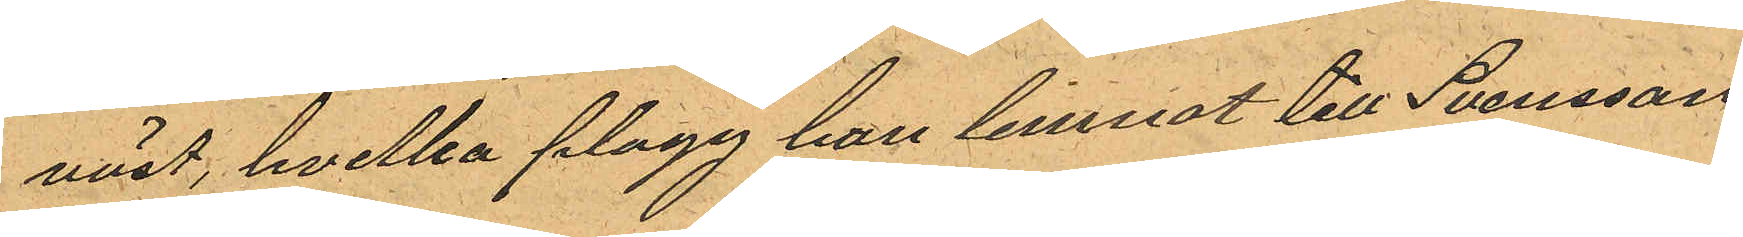väst, hvilka plagg han lemnat till Svensson
